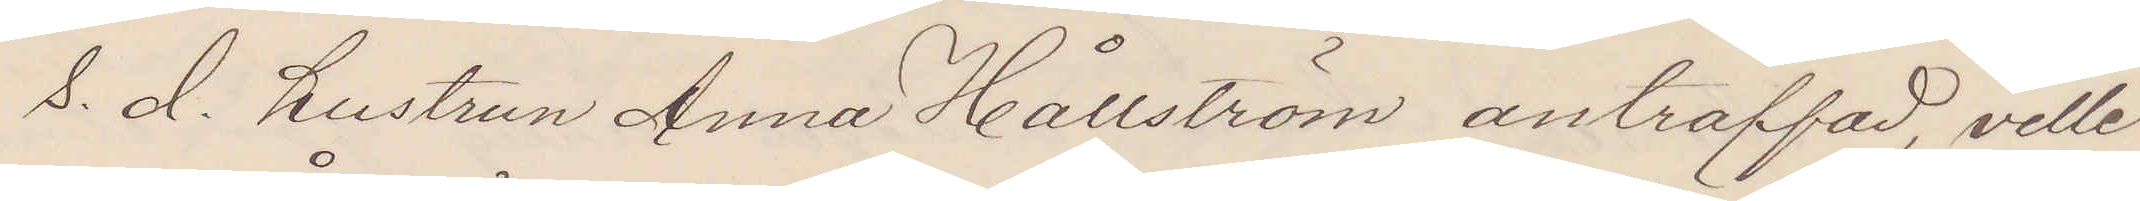S. d. hustrun Anna Hållström anträffad, ville
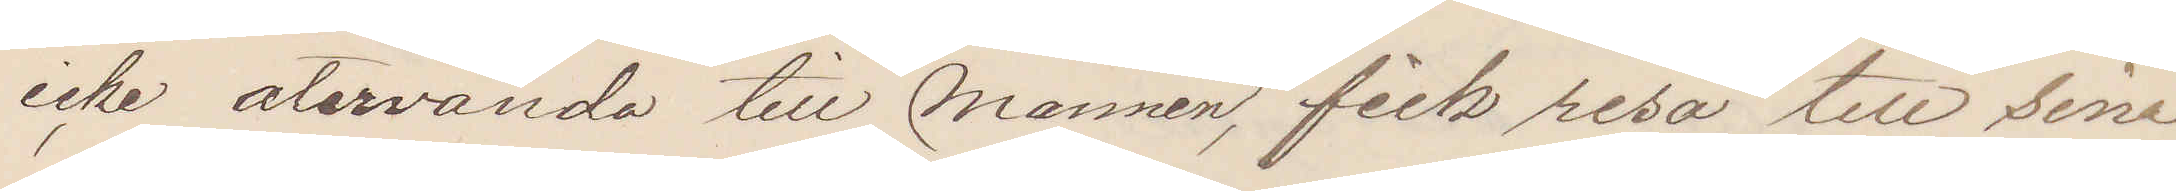icke återvända till mannen, fick resa till sina
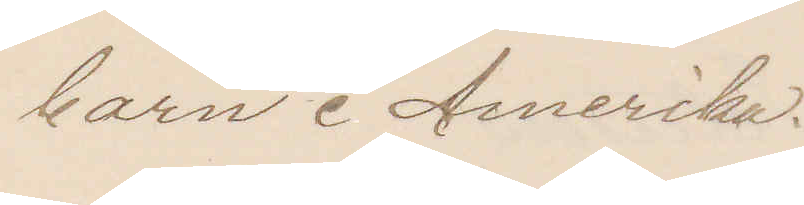barn i Amerika.
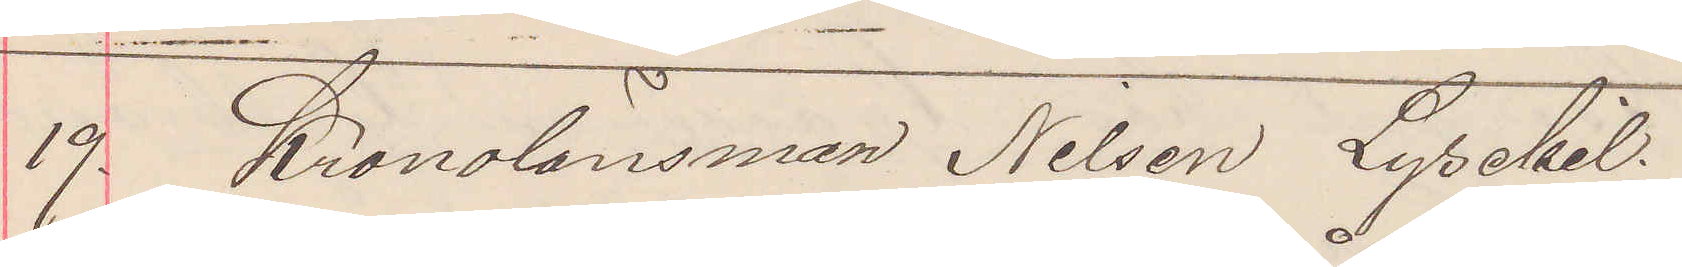19. Kronolänsman Nilsson Lysekil.
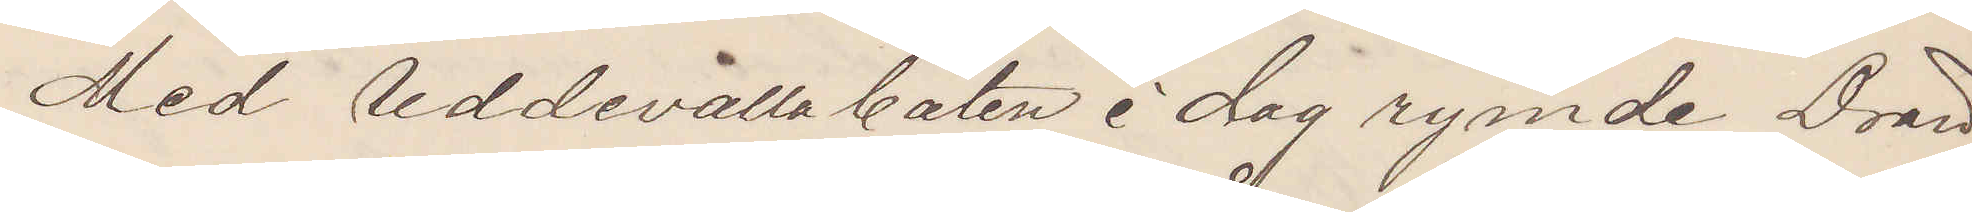Med Uddevallabåten i dag rymde Drän¬
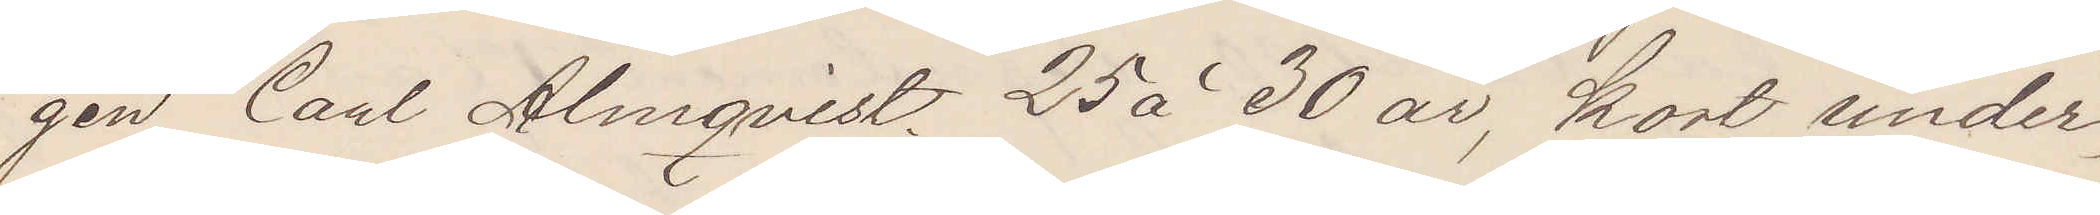gen Carl Almqvist 25 à 30 år, kort under¬
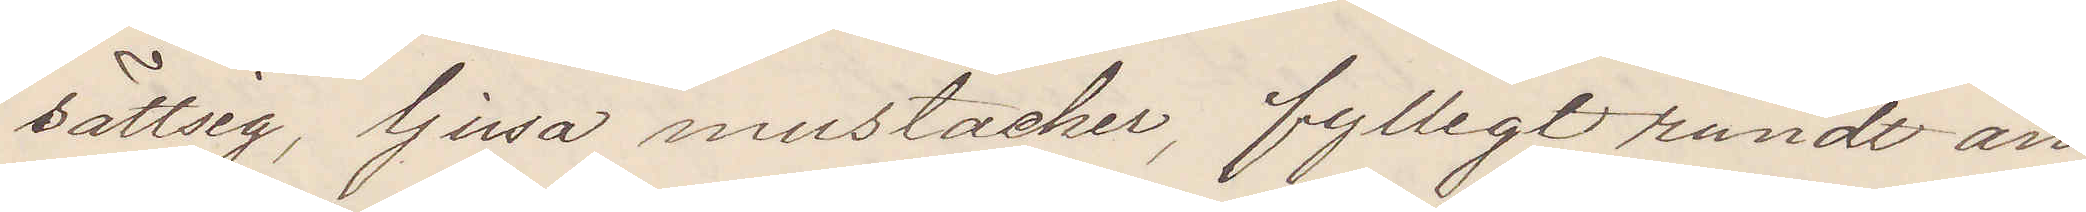sättsig, ljusa mustacher, fylligt rundt an¬
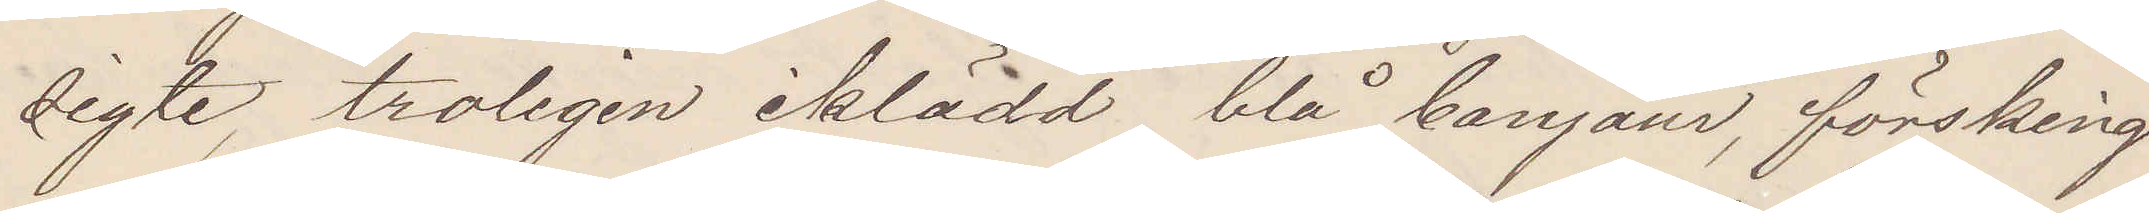sigte, troligen iklädd blå bonjour, försking¬
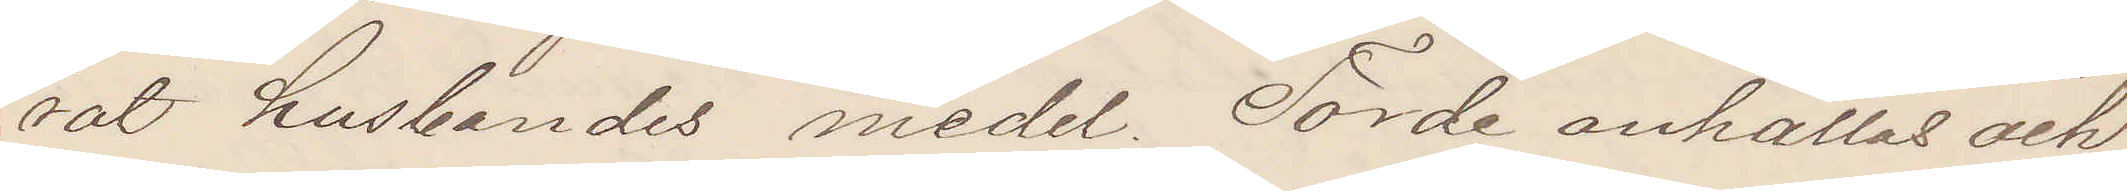rat husbondes medel. Torde anhållas och
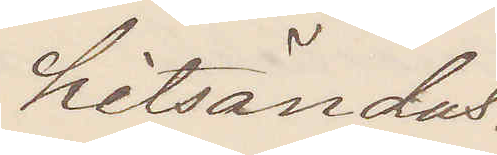hitsändas.
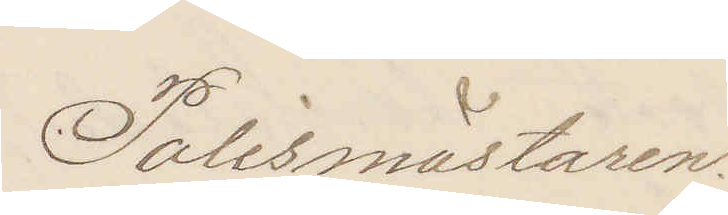Polismästaren.
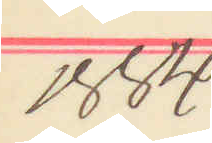1884
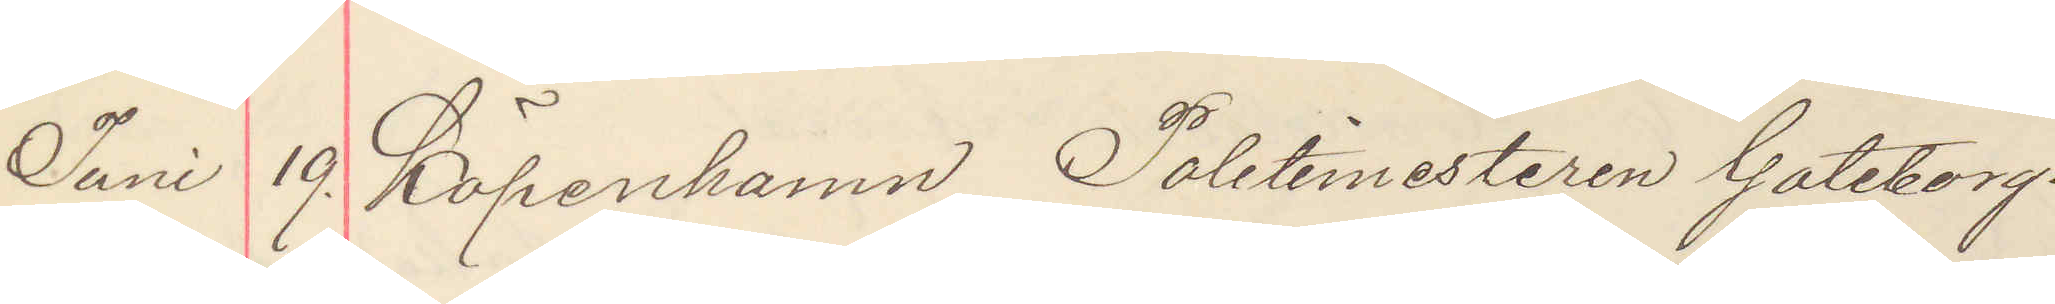Juni 19. Köpenhamn Politimesteren Göteborg.
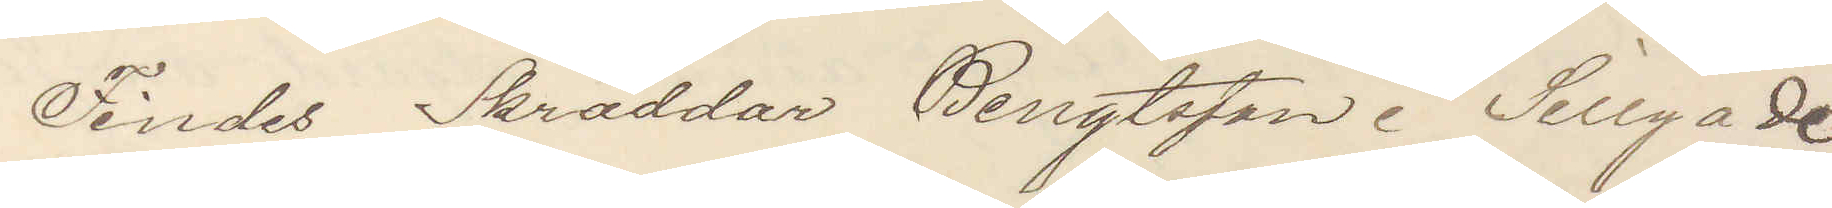Findes Skräddar Bengtsson i Sillgade
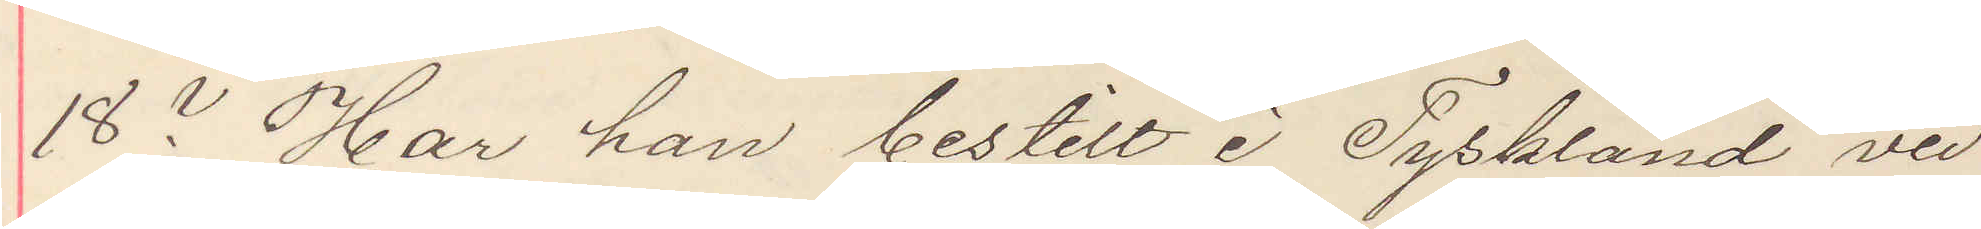18? Har han bestilt i Tyskland ved
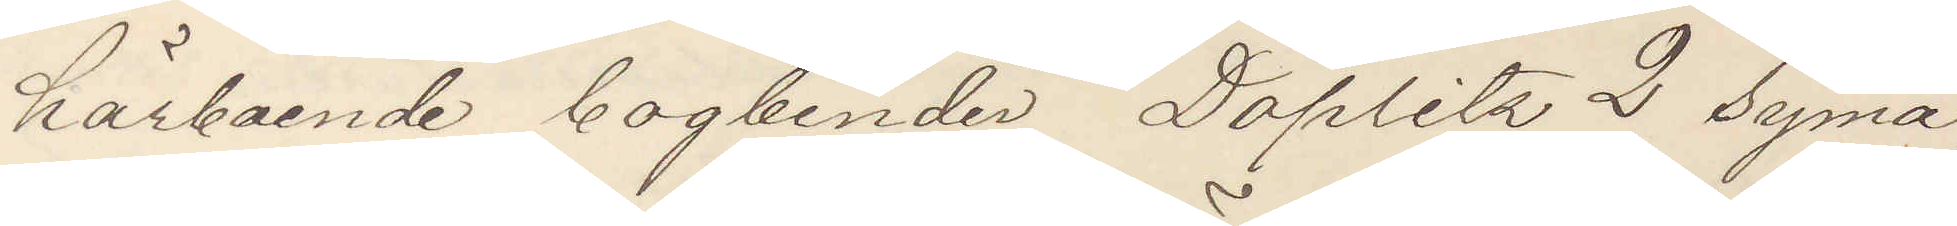härboende bogbinder Doplitz 2 syma¬
